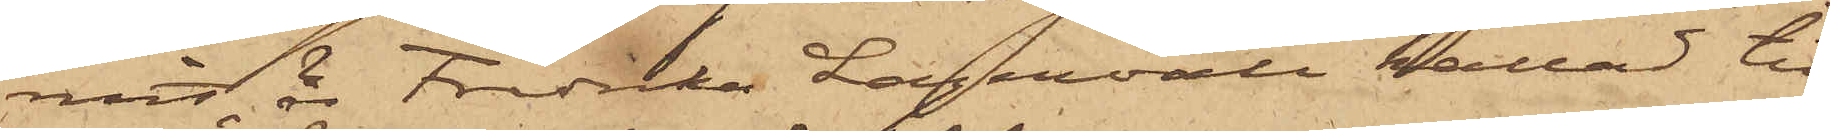mit, är Fredrika Lagervall kallad till
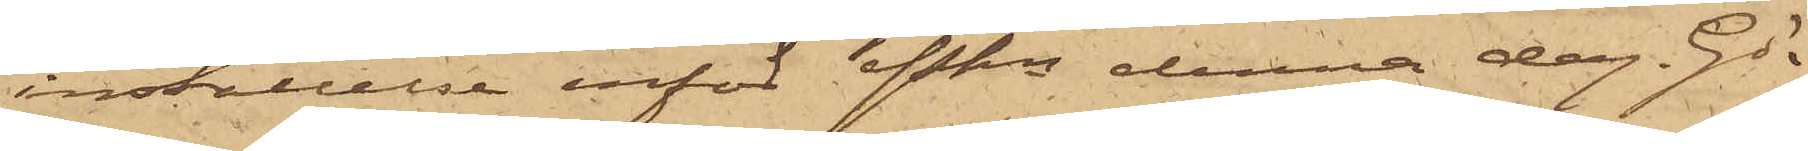inställelse inför Pkn denna dag. Gö¬
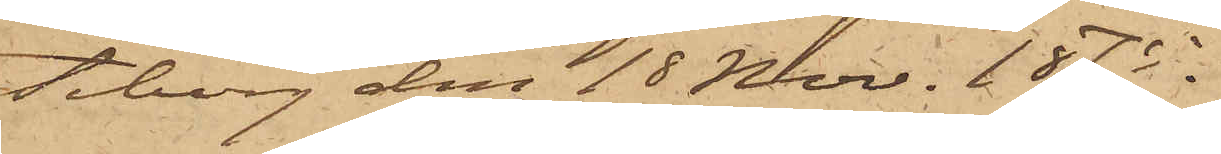teborg den 18 Nov. 1875.
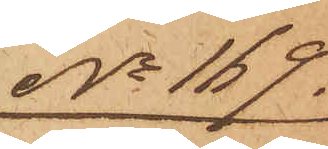No 169.
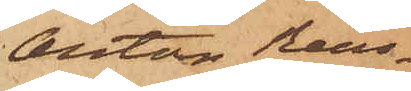Anton Rein¬
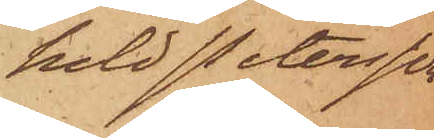hold Petersson
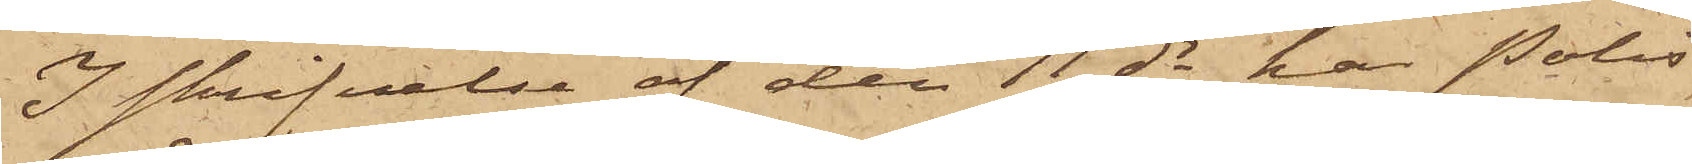I skrifvelse af den 11 ds har Polis¬
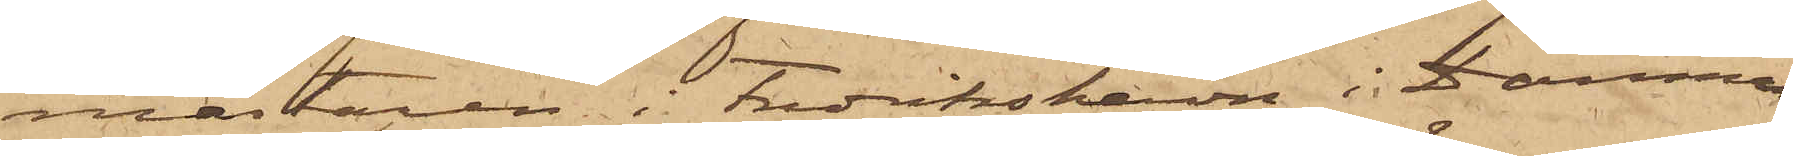mästaren i Fredrikshavn i Danmark
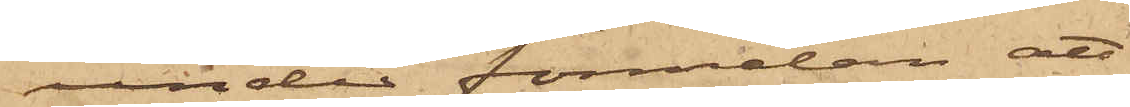under förmälan att
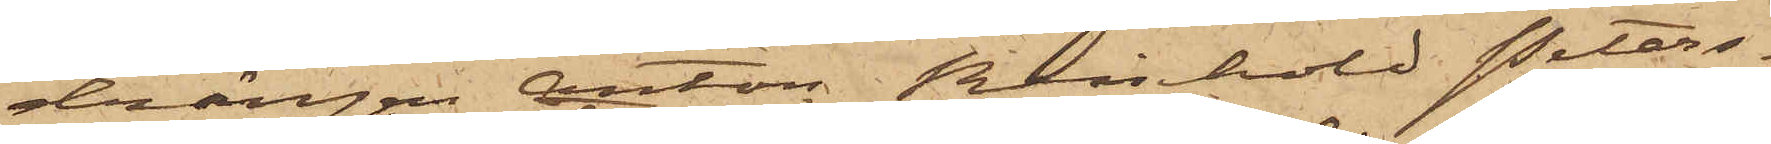drängen Anton Reinhold Peters¬
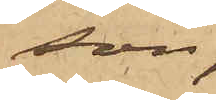son,
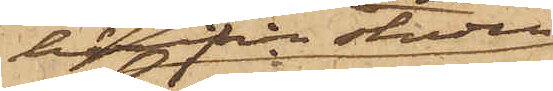härifrån staden
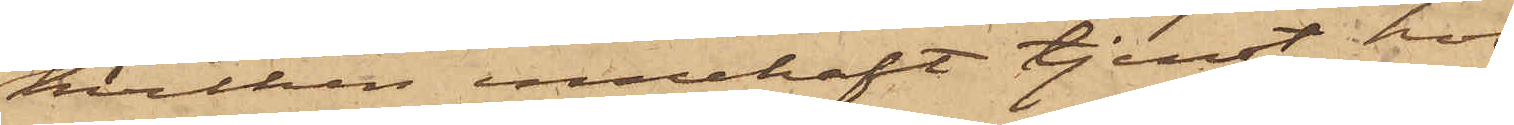hvilken innehaft tjenst hos
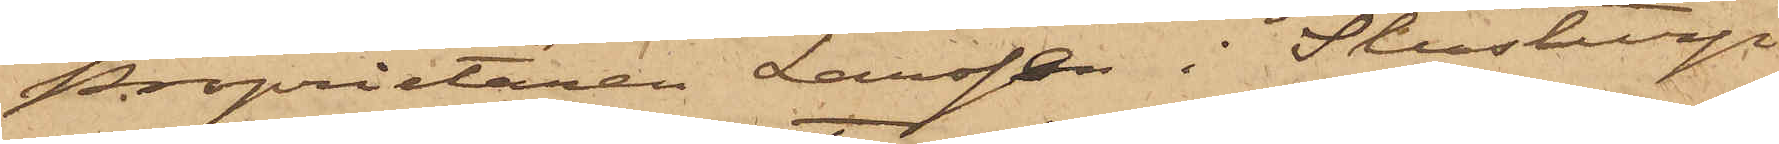Proprietären Larssen i Slustrup
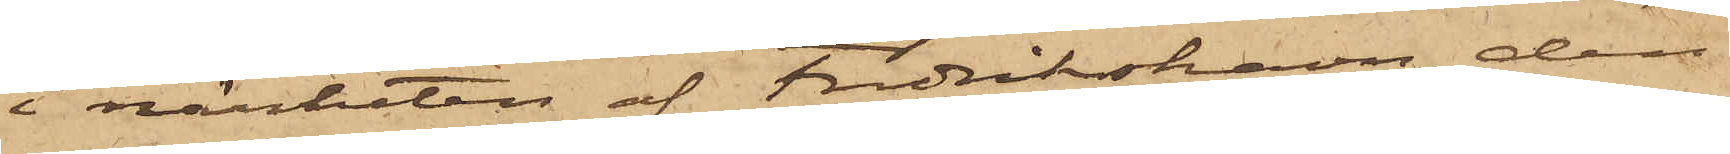i närheten af Fredrikshavn, den
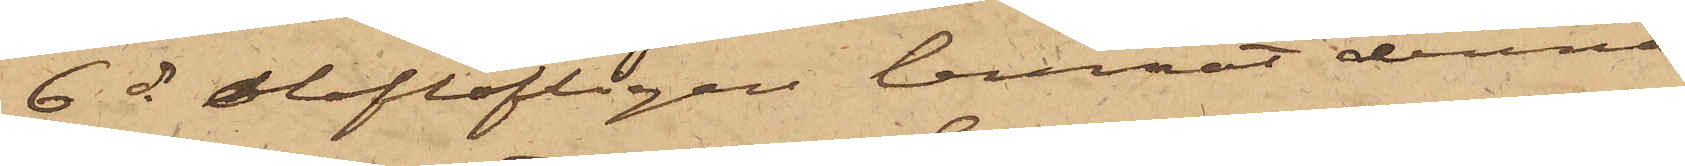6 ds oloflofligen lemnat denna
